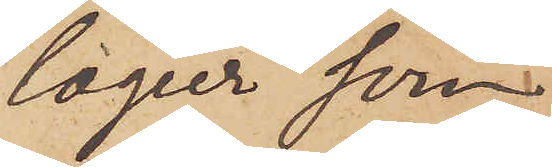logier som
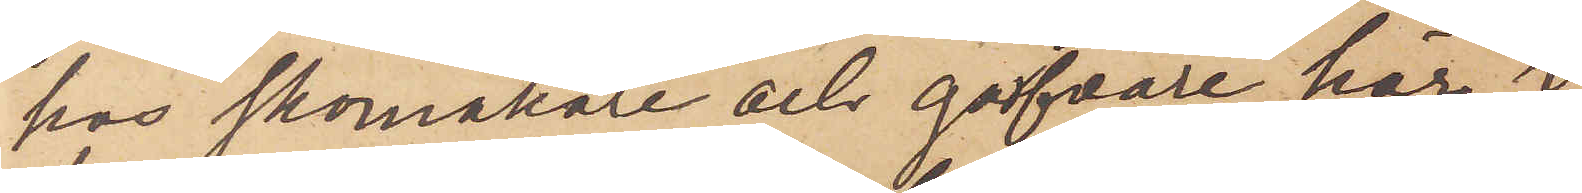hos Skomakare och garfvare här i
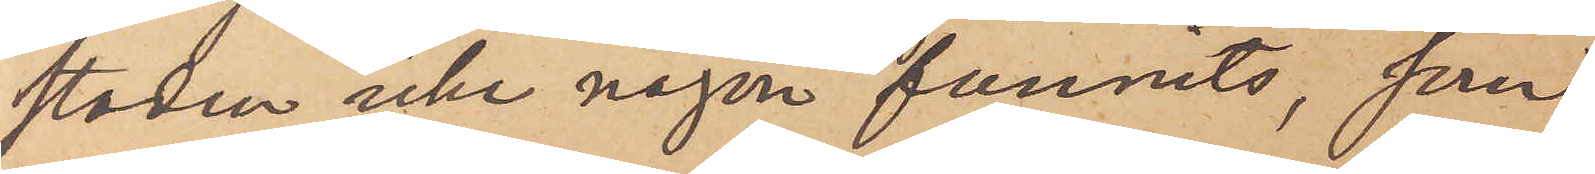staden, icke någon funnits, som
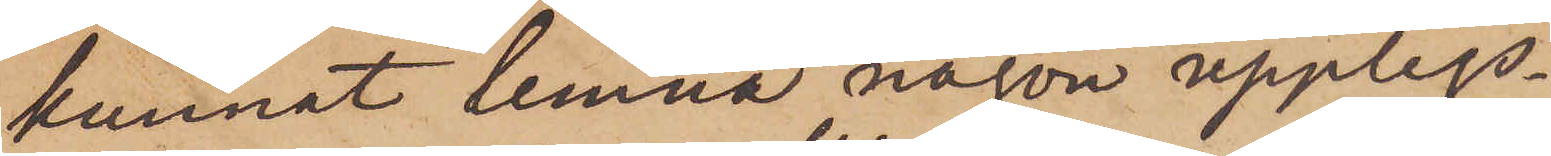kunnat lemna någon upplys¬
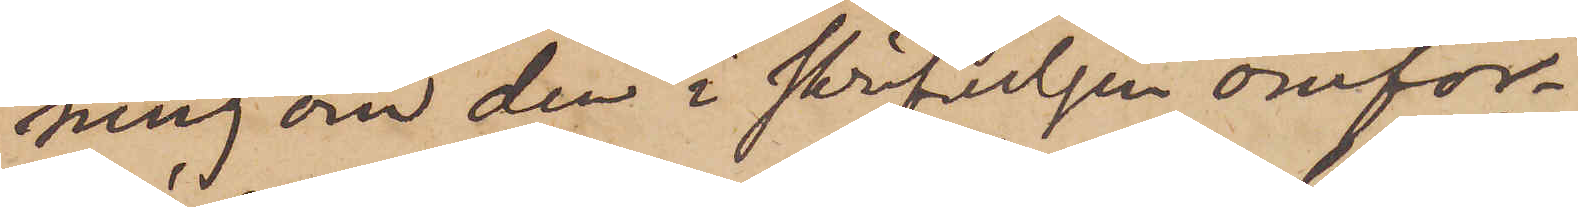ning om den i skrifvelsen omför¬
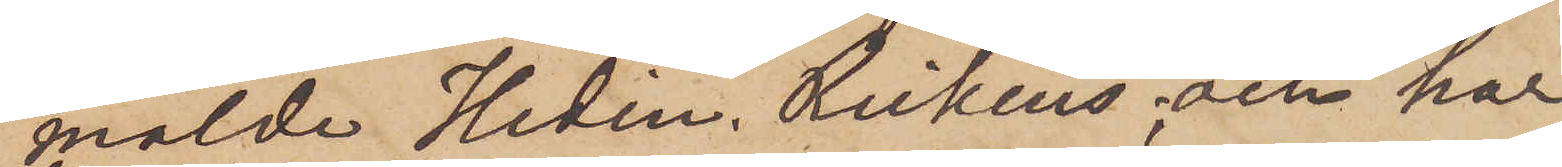mälde Hedin. Reikens; och har
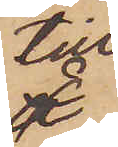till
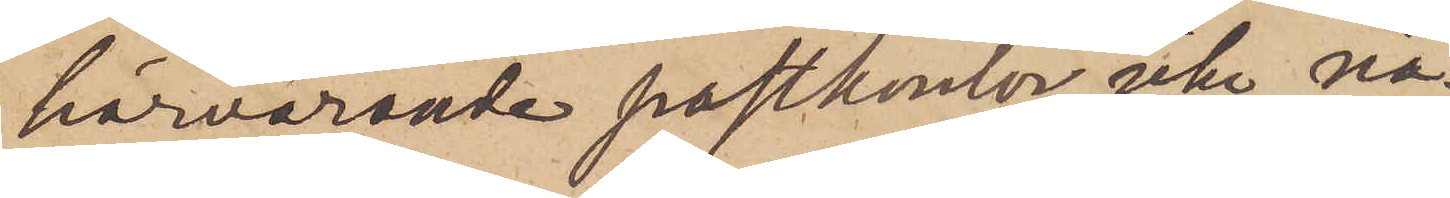härvarande postkontor icke nå¬
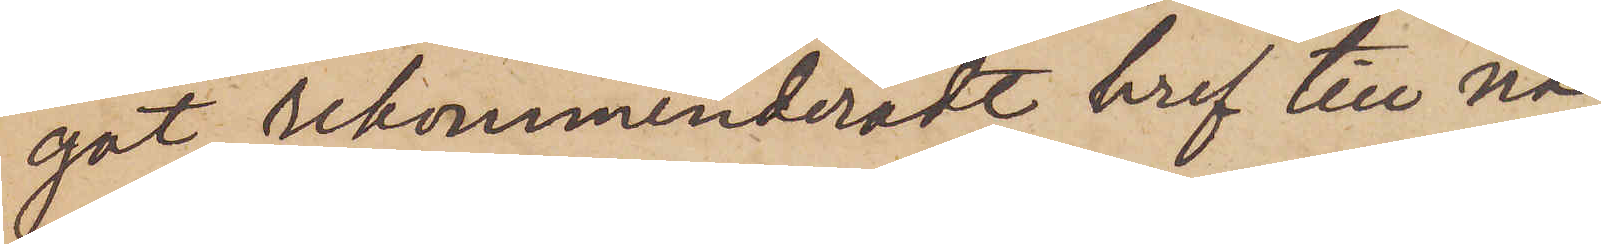got rekommenderadt bref till nå¬
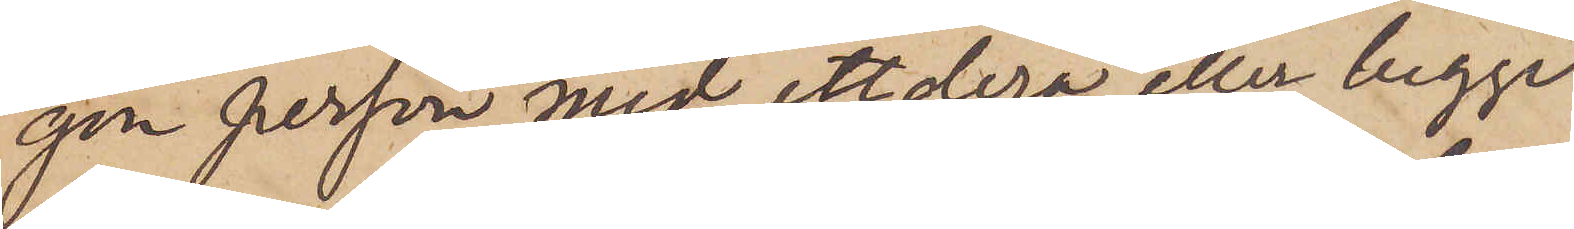gon person med ettdera eller begge
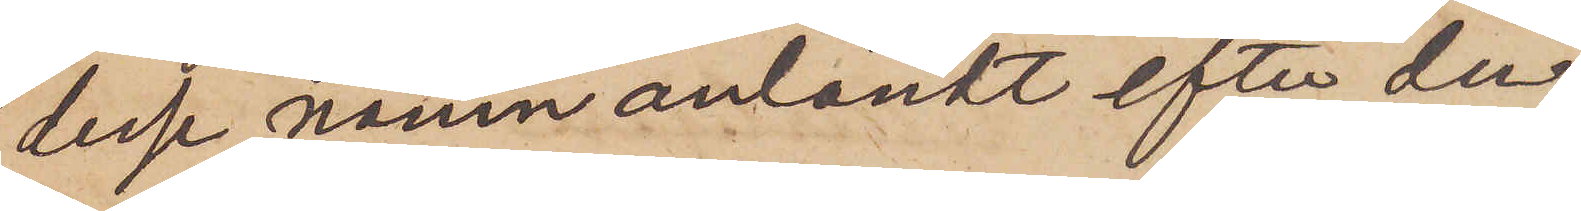desse namn anländt efter den
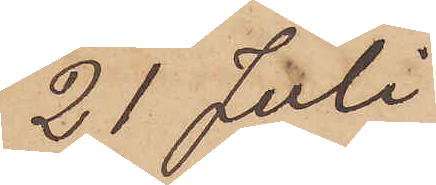21 Juli.
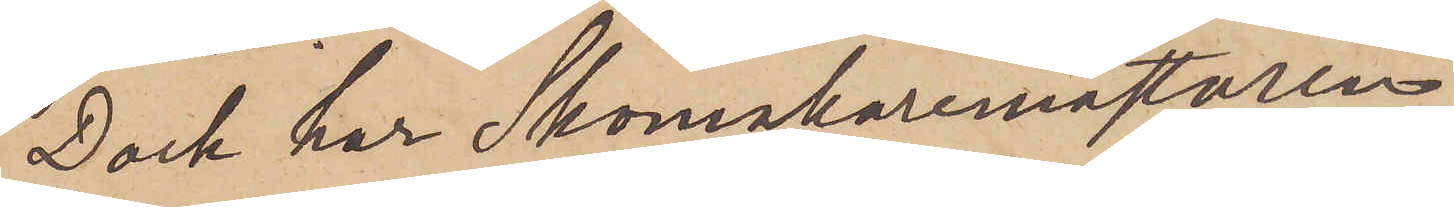Dock har Skomakaremästaren
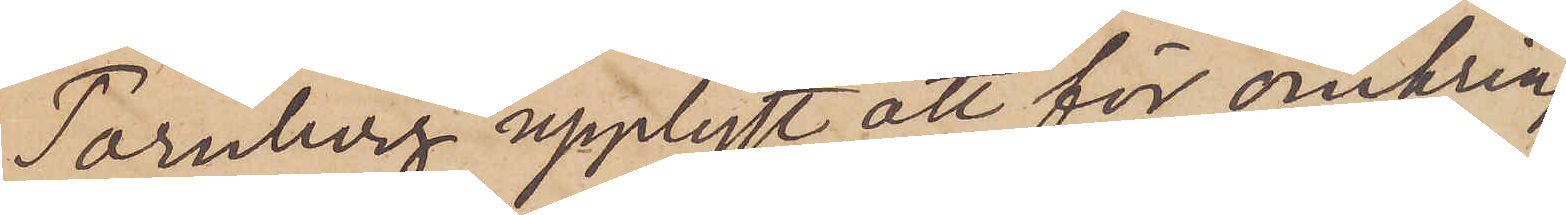Tornberg upplyst att för omkring
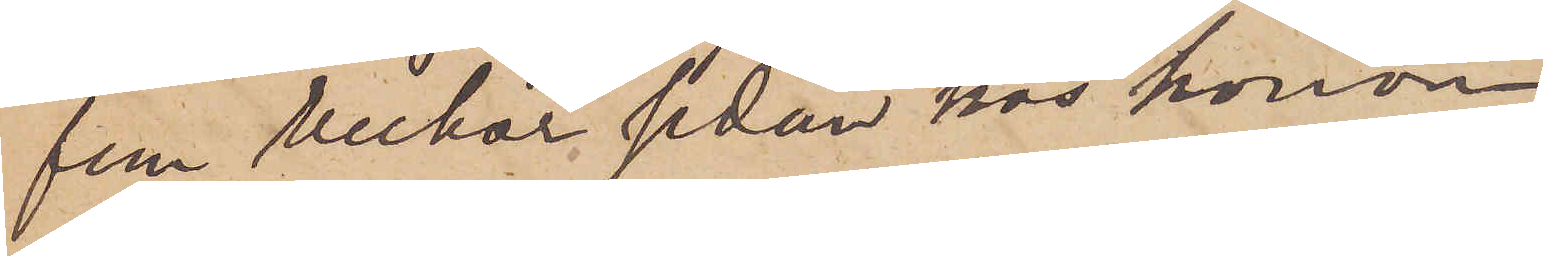fem veckor sedan hos honom
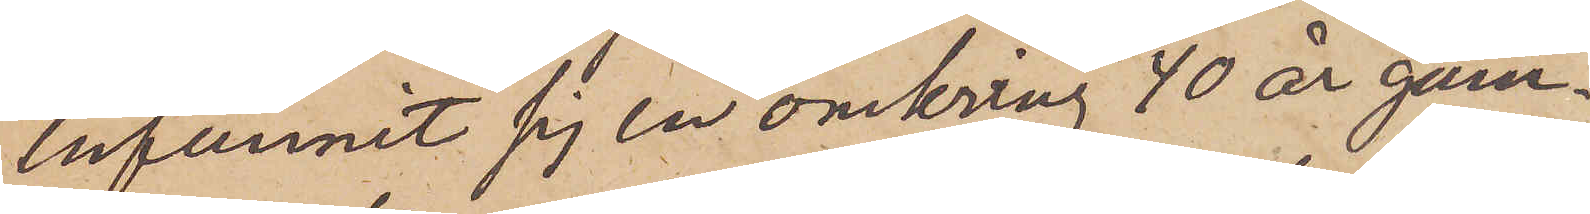infunnit sig en omkring 40 år gam¬
